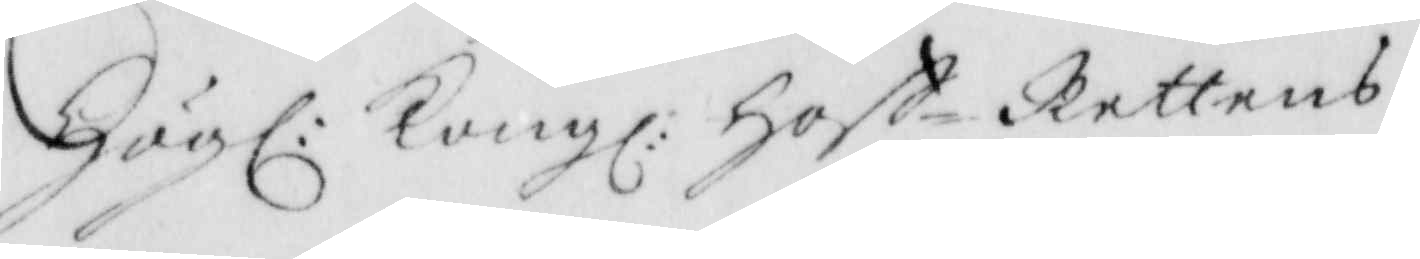Högl: Kongl: Hoff-Rettens
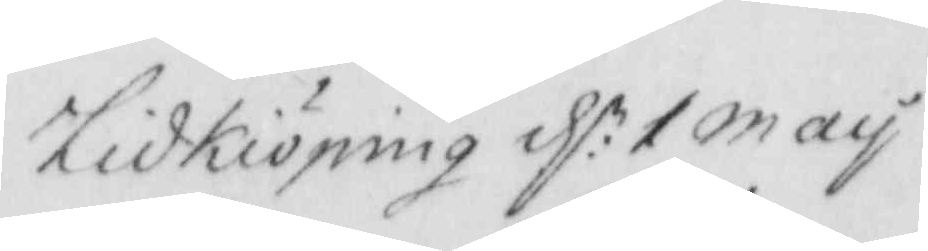Lidkiöping d:n 1 may
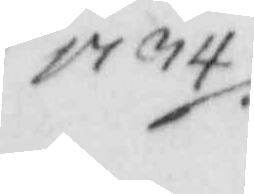1734
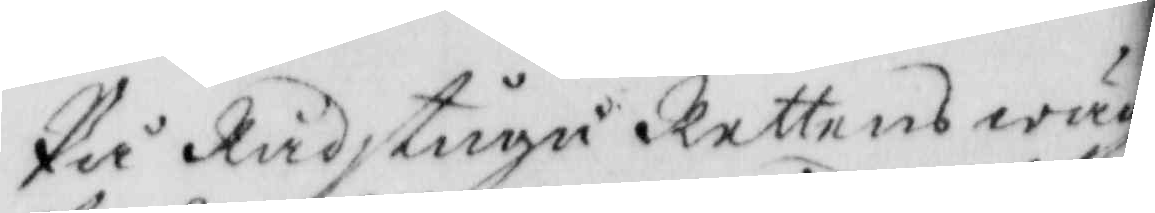På Rådstugu Rettens wägnar
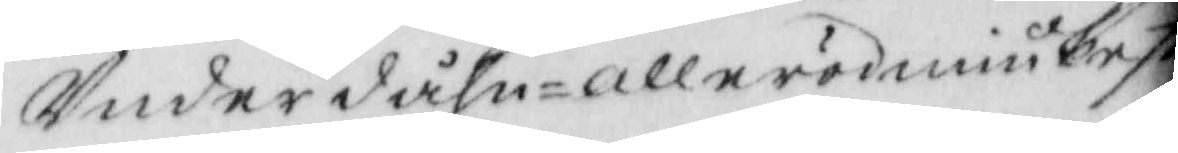Underdåhn-allerödmiukeste
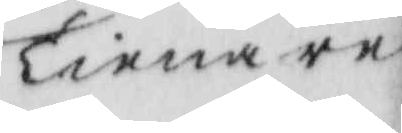Tienare
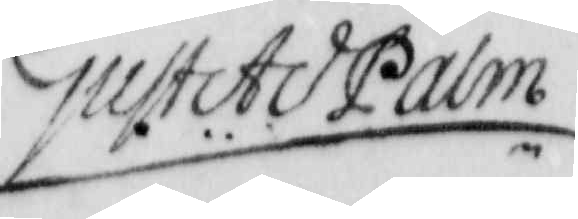Gust Ad Palm
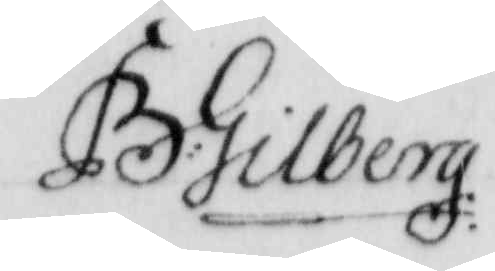B: Gilberg:
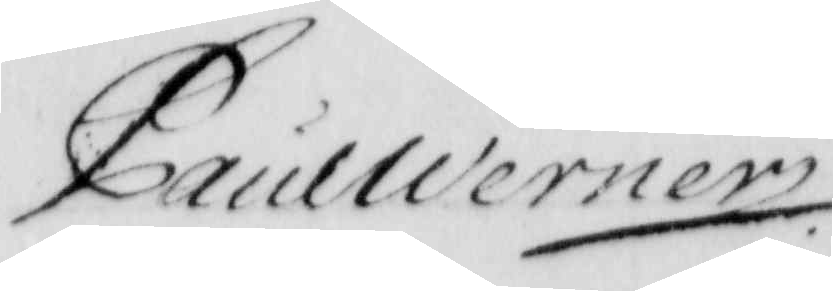PaulWerner
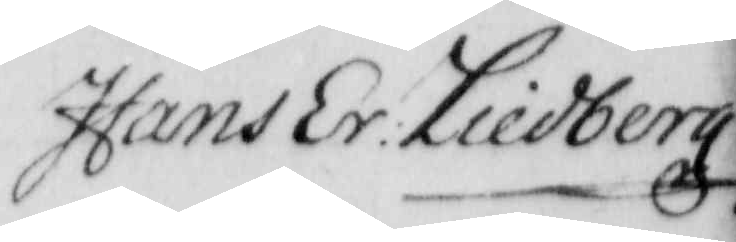Hans Er: Liedberg
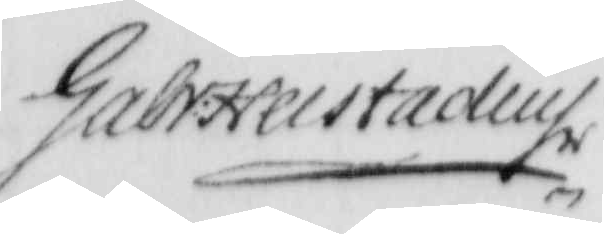Gabr: Helstadius
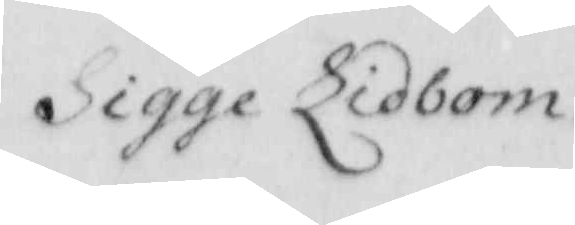Sigge Lidbom.
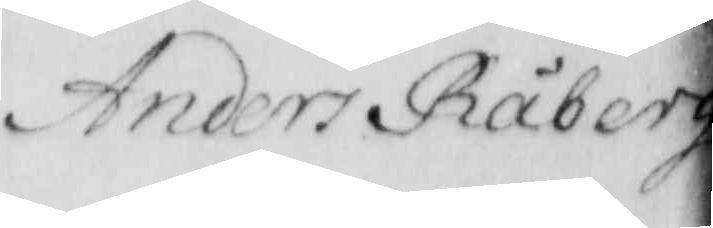Anders Råberg
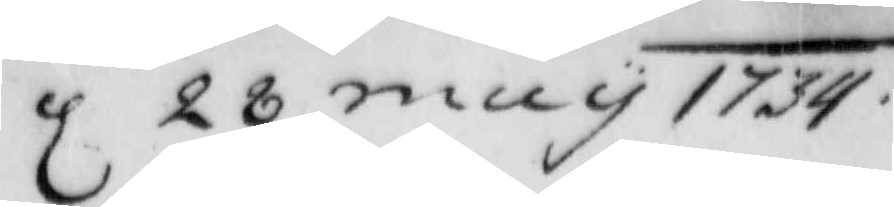d 28 may 1734.
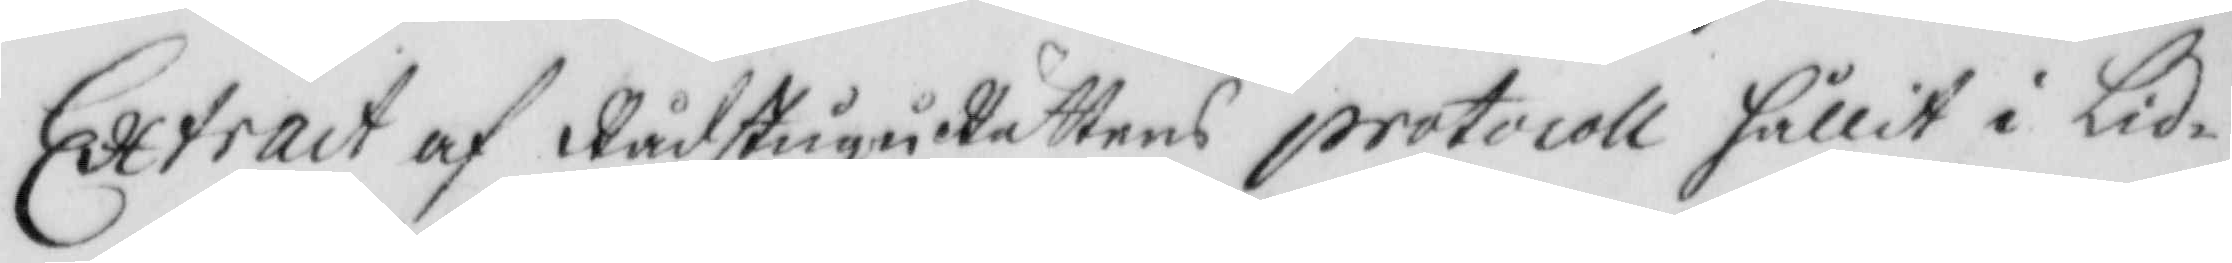Extract af RådstuguRättens protocoll hållit i Lid¬
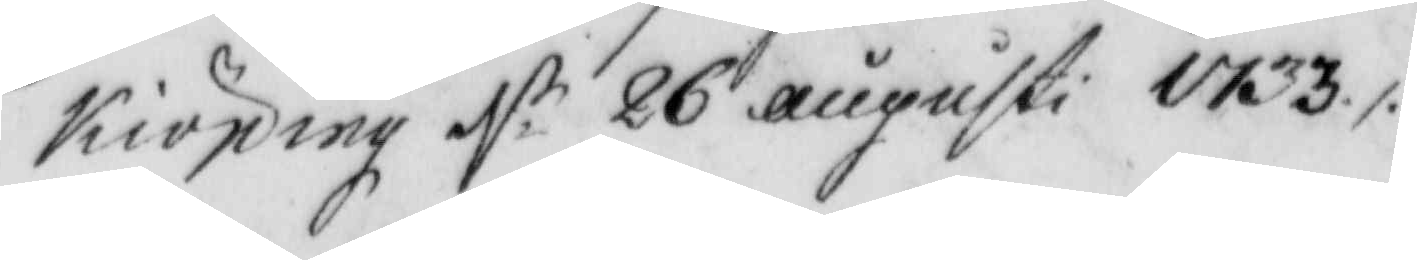Kiöping d:n 26 augusti 1733./.
